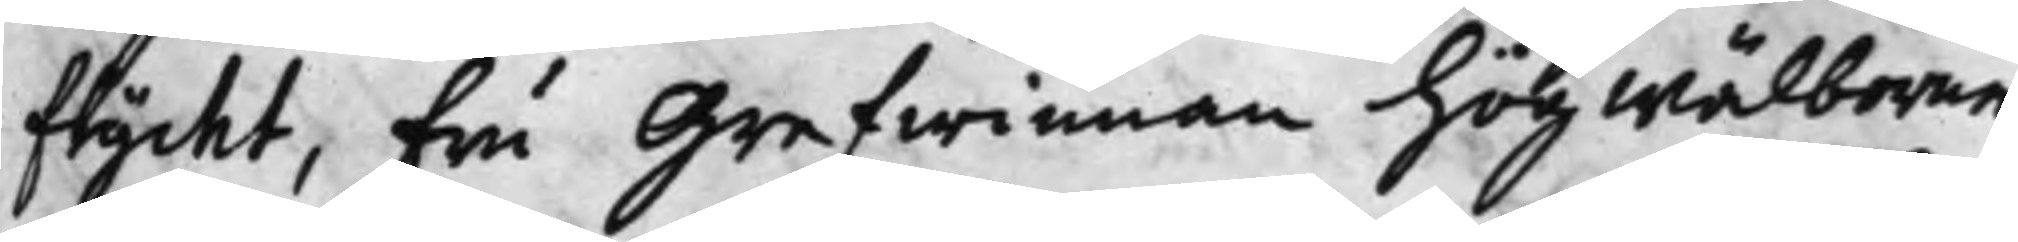flycht, Fru Grefwinnan Högwälborne
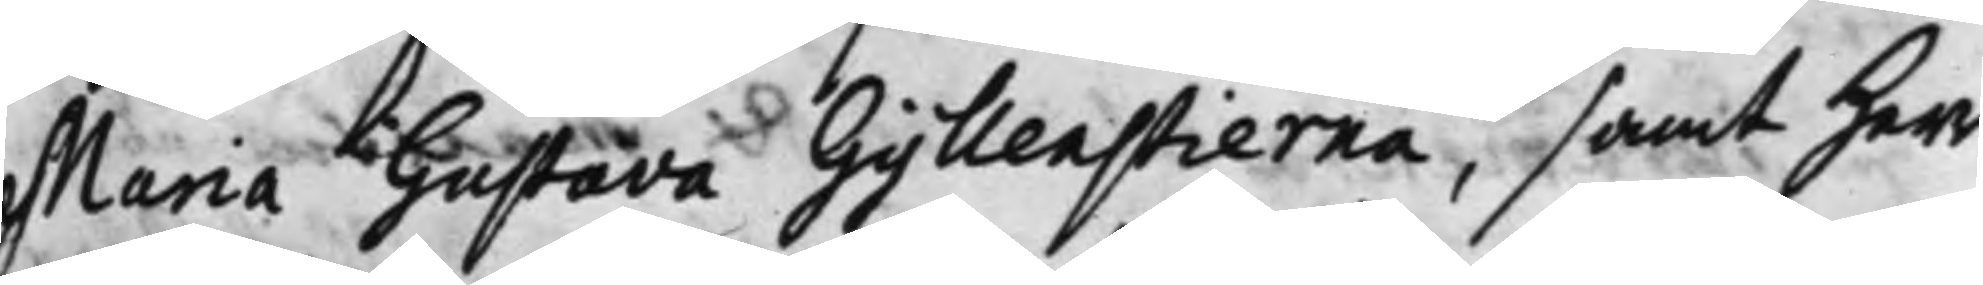Maria Gustava Gyllenstierna, samt Herr
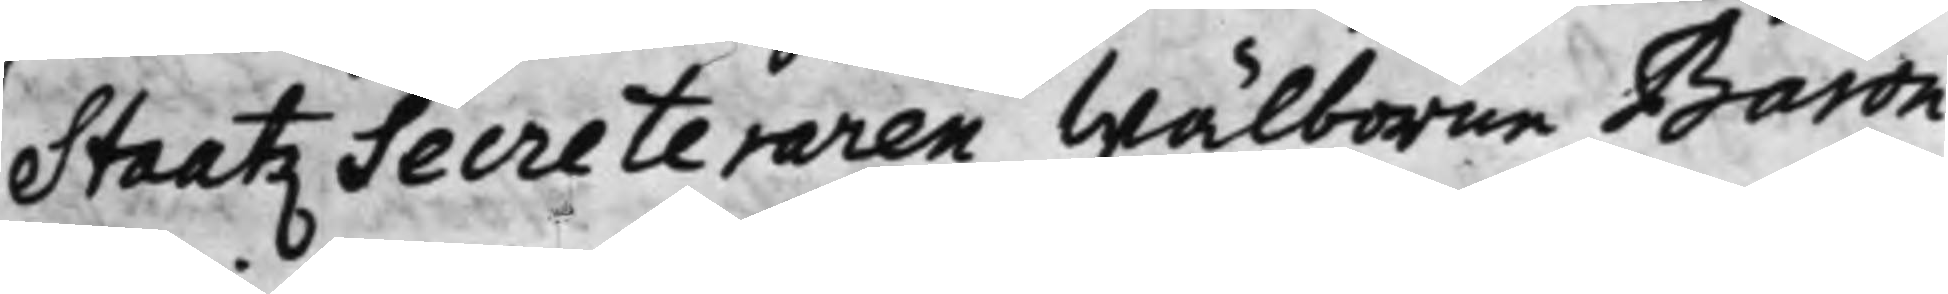Staatz Secreteraren Wälborne Baron
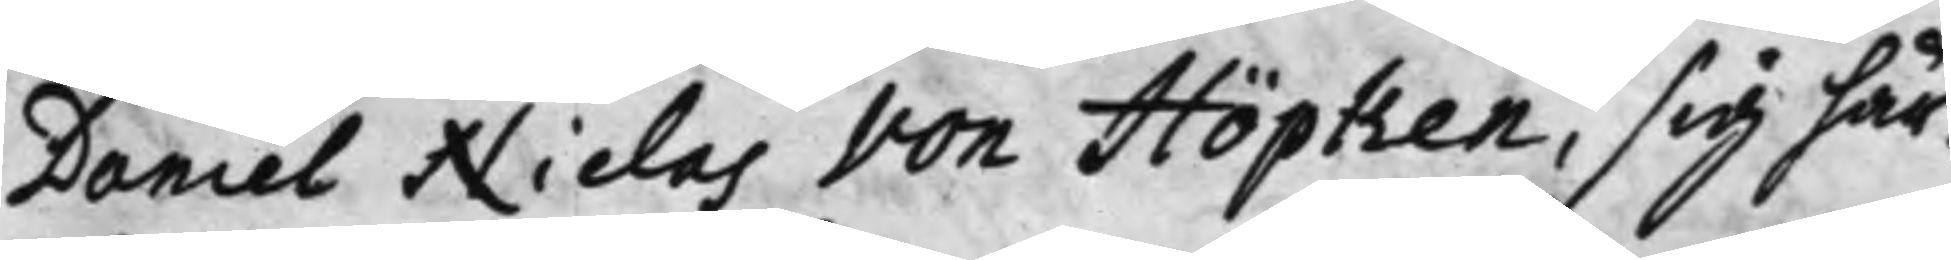Daniel Nidas von Höpken, sig här¬ 
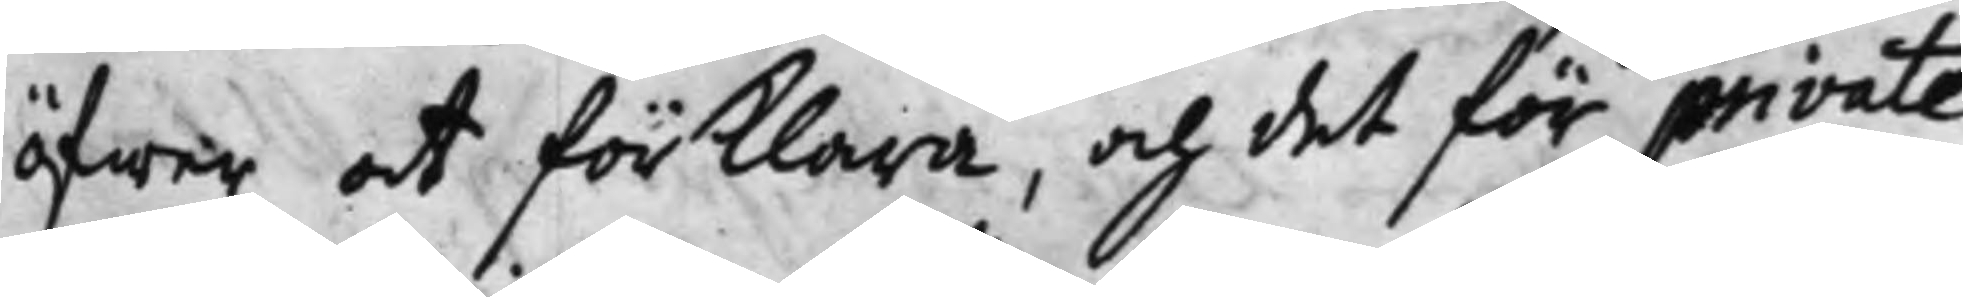öfwer at förklara, och det för private
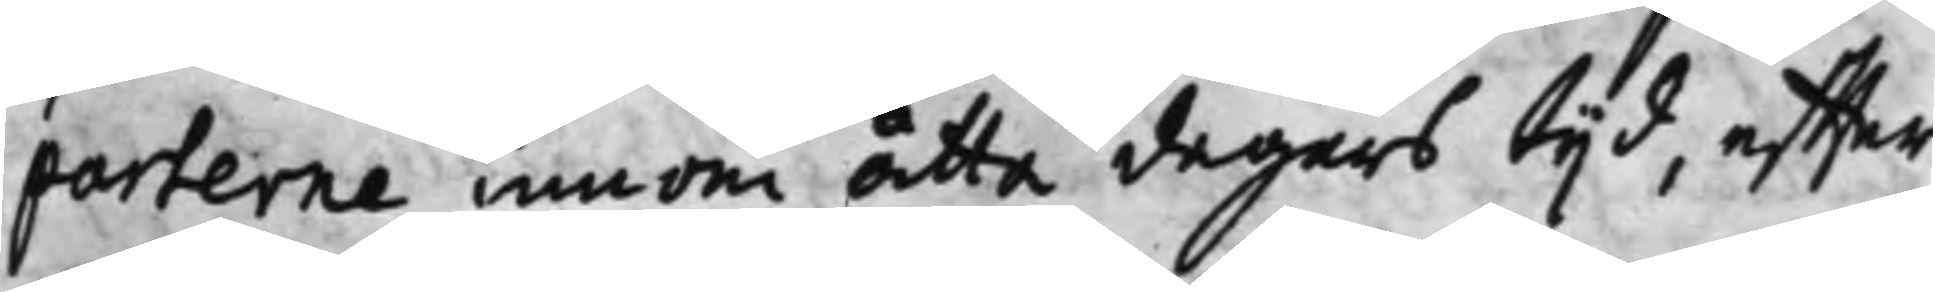parterne innom åtta dagars tijd, effter
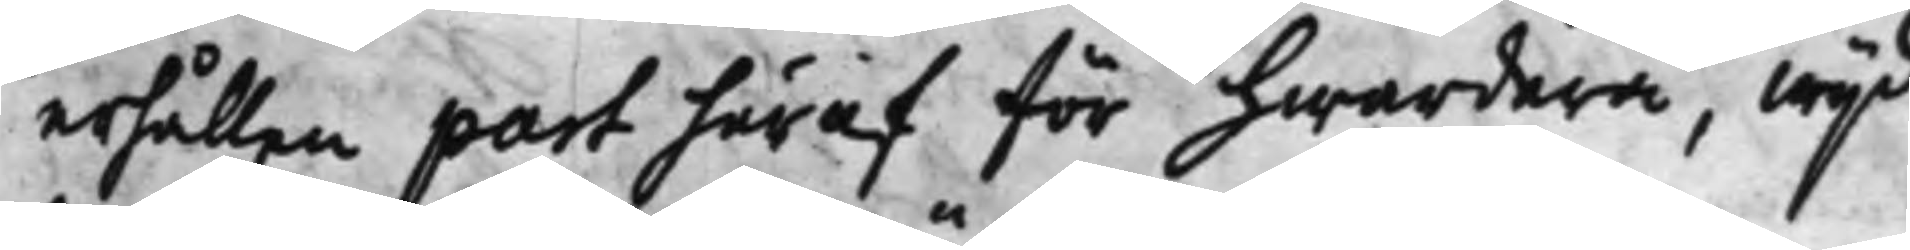erhållen part häraf för hwardera, wijd
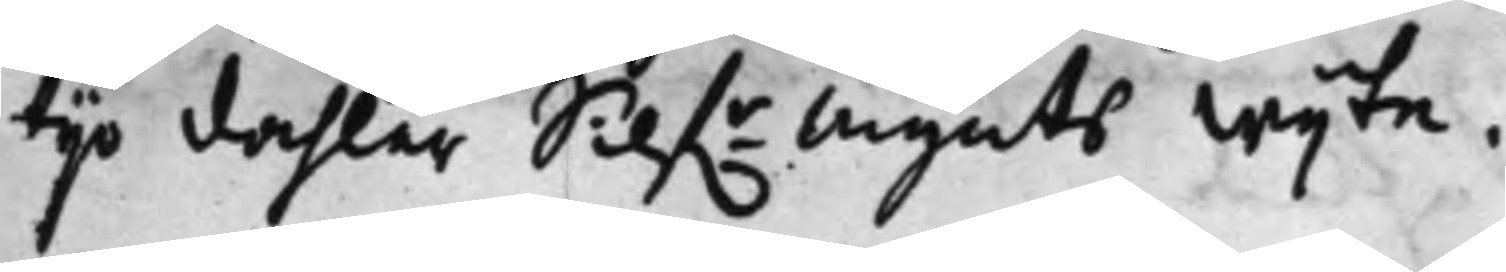tijo dahler Silf.r Mynts wijte.
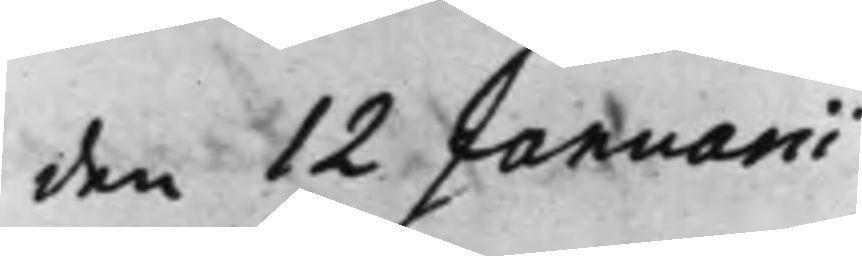den 12 Januarii
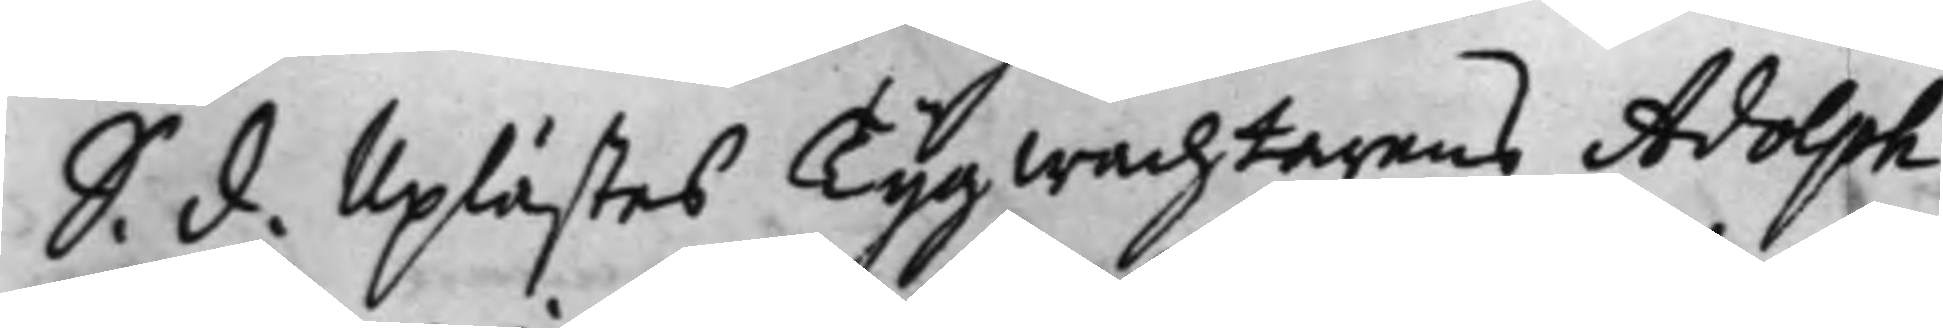S. d. Uplästes Tygwachtarens Adolph
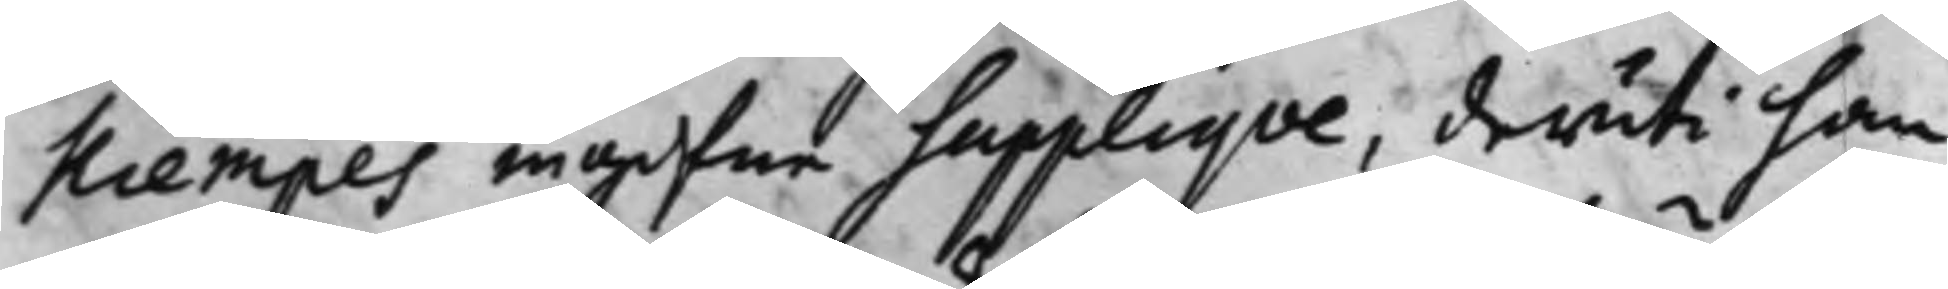Kiempes ingifne Suppliqve, deruti han
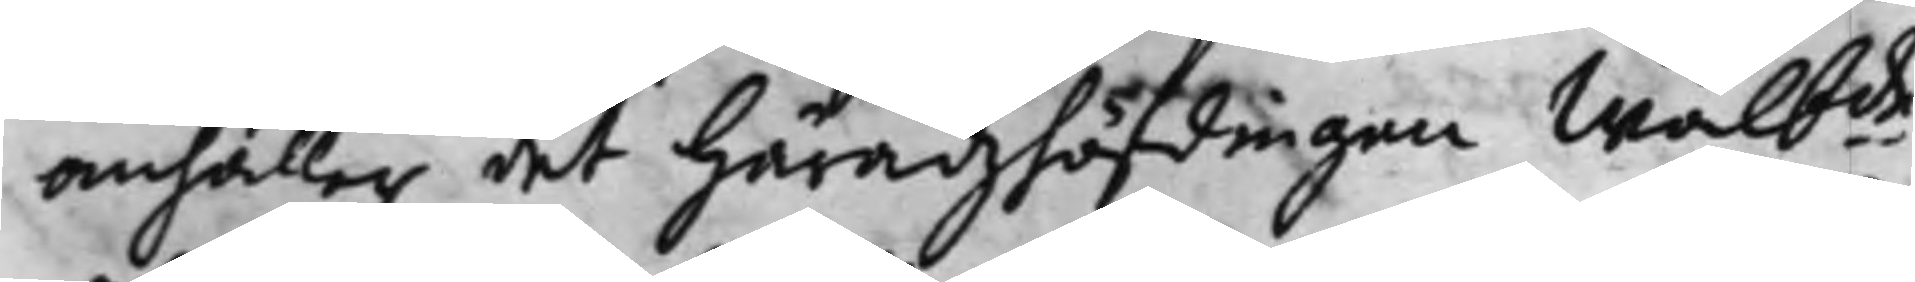anhåller det Häradzhöfdingen Wälb.de
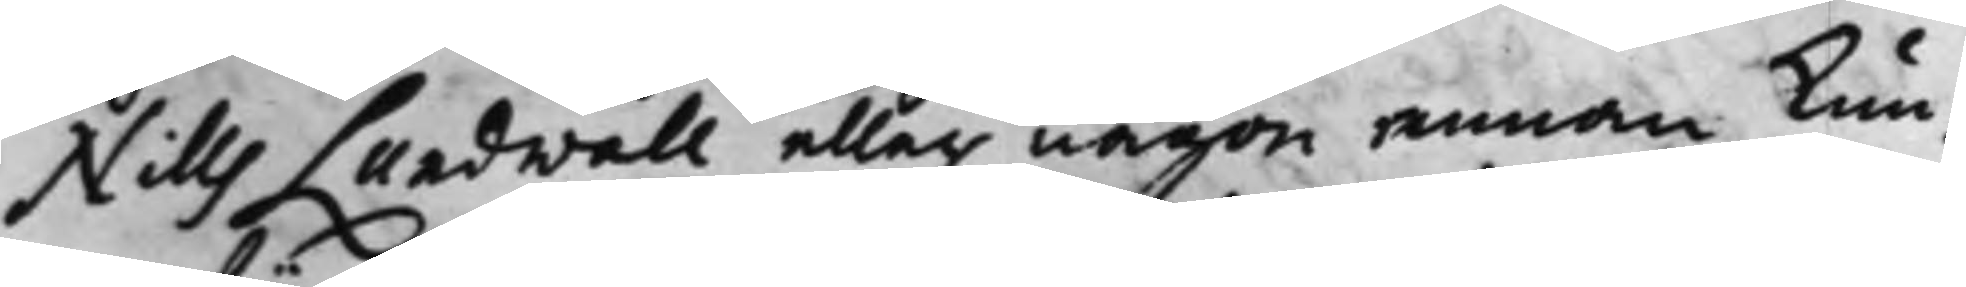Nills Lundwall eller någon annan kun¬
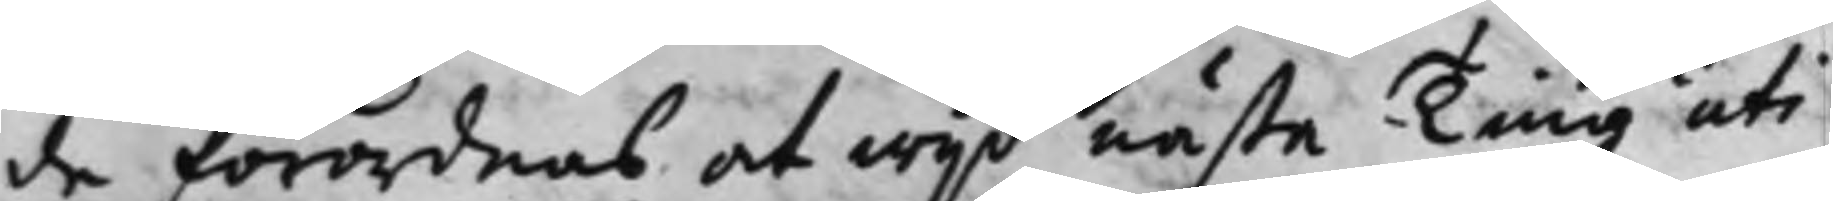de förordnas at wijd nästa Ting uti
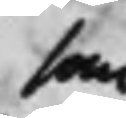som
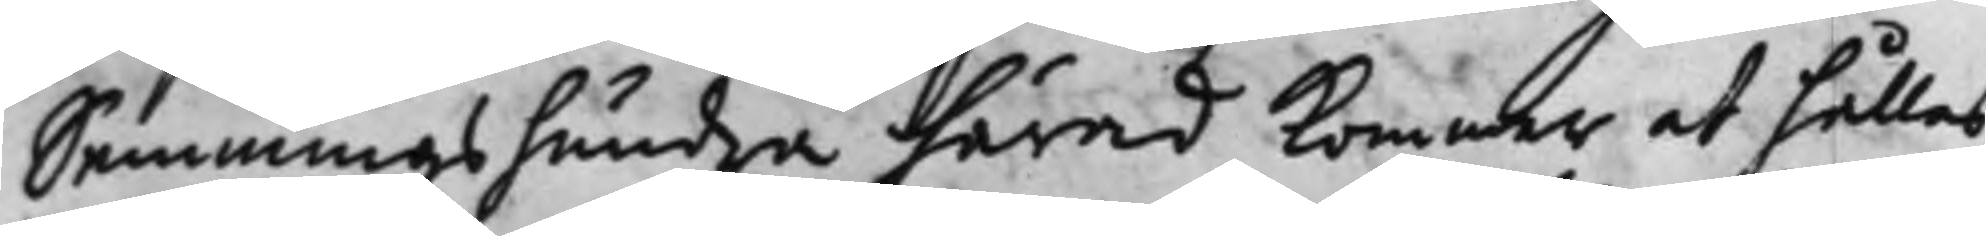Semmingshundra härad Kommer at hållas
